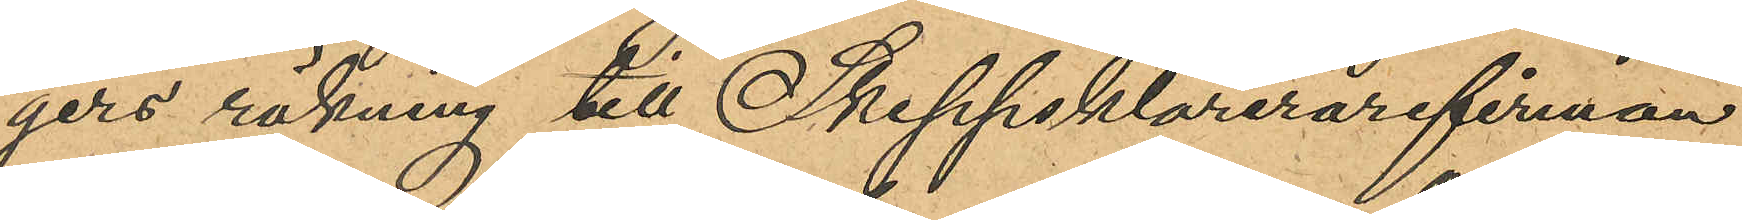gers räkning till Skeppsklarerarefirman
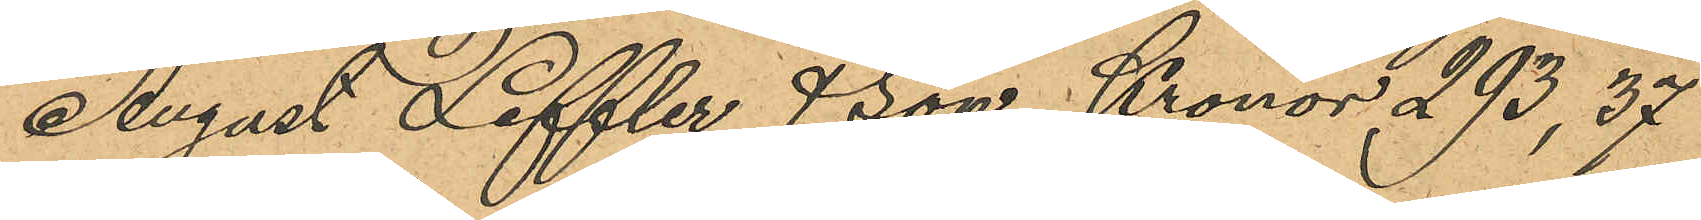August Leffler & Son Kronor 293,37
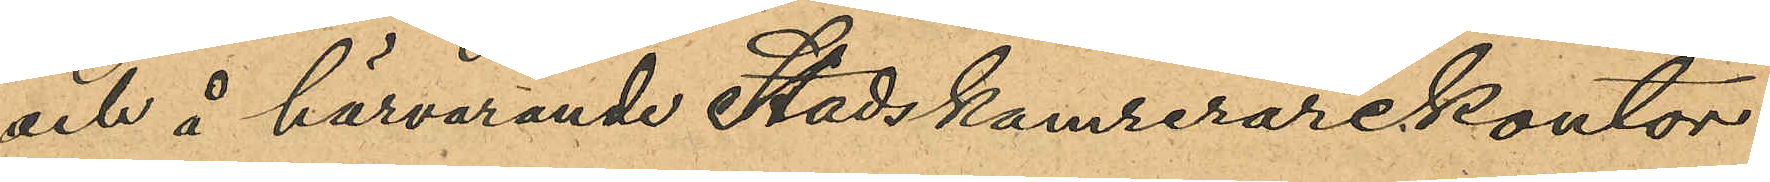och å härvarande Stadskamrerarekontor
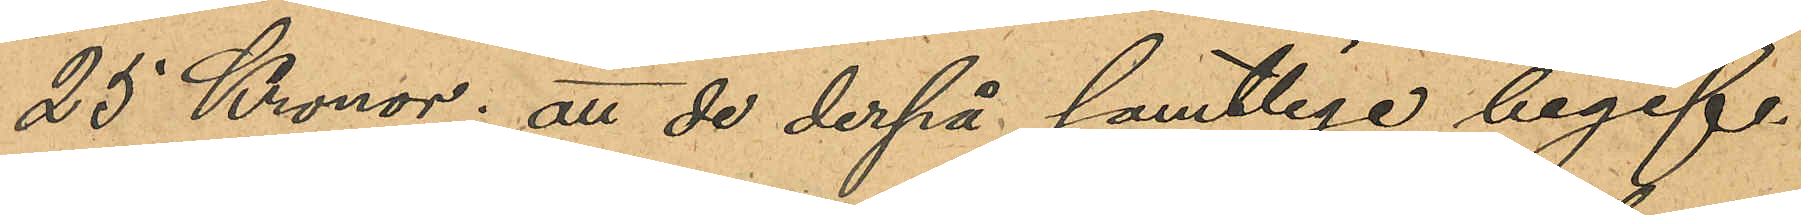25 Kronor; att de derpå samtlige begif¬
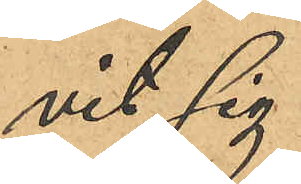vit sig
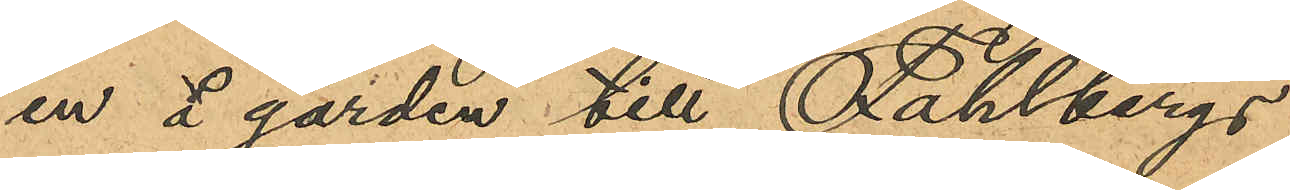in å gården till Fahlbergs
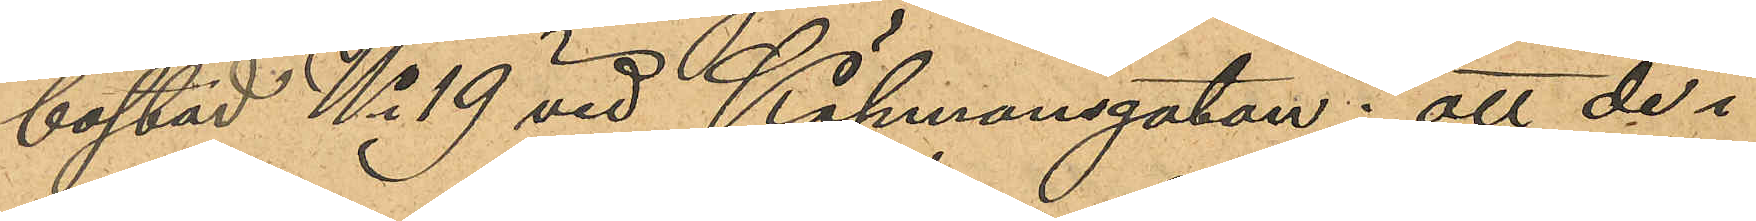bostad No 19 vid Köpmansgatan; att de i
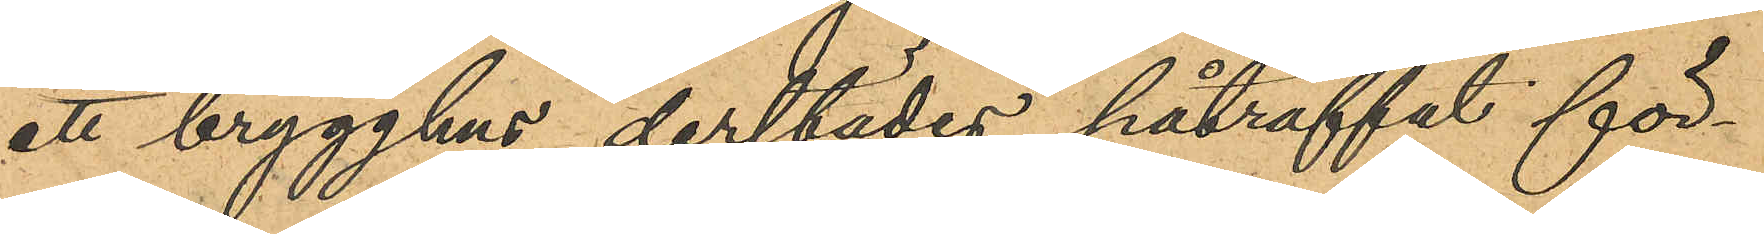ett brygghus derstädes påträffat för¬
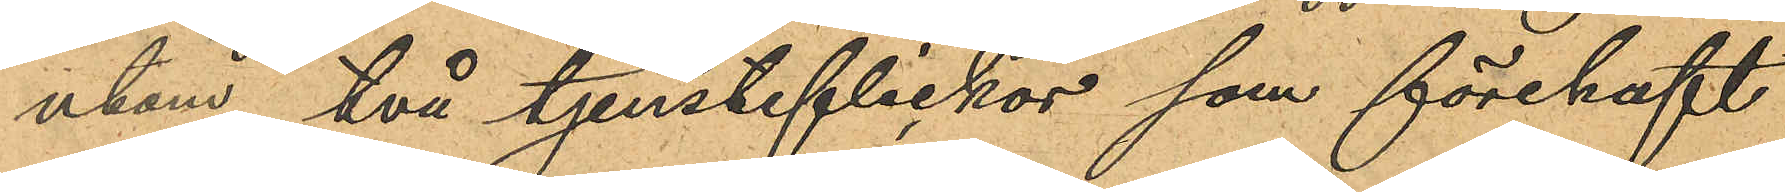utom två tjensteflickor som förehaft
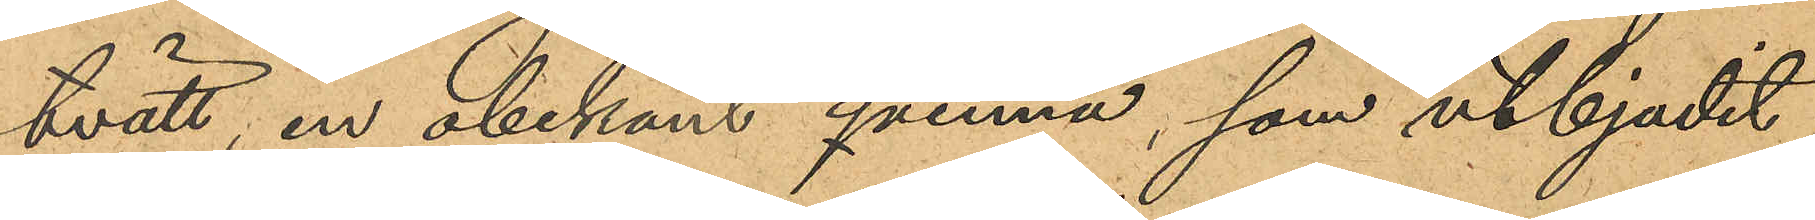tvätt, en obekant qvinna, som utbjudit
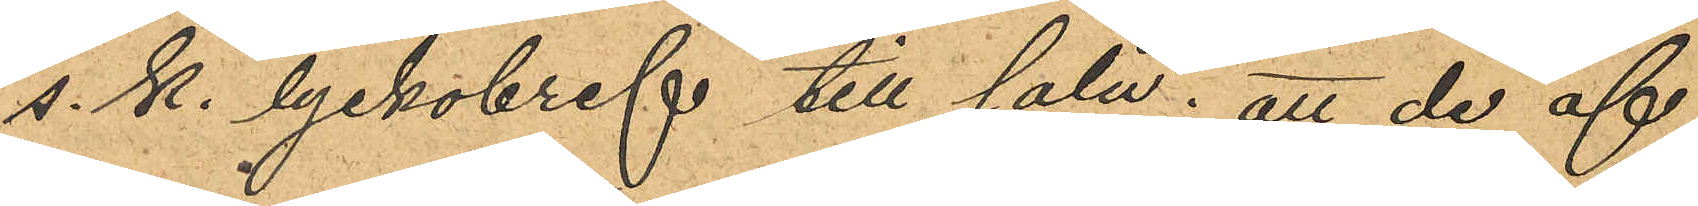s. k. lyckobref till salu; att de af
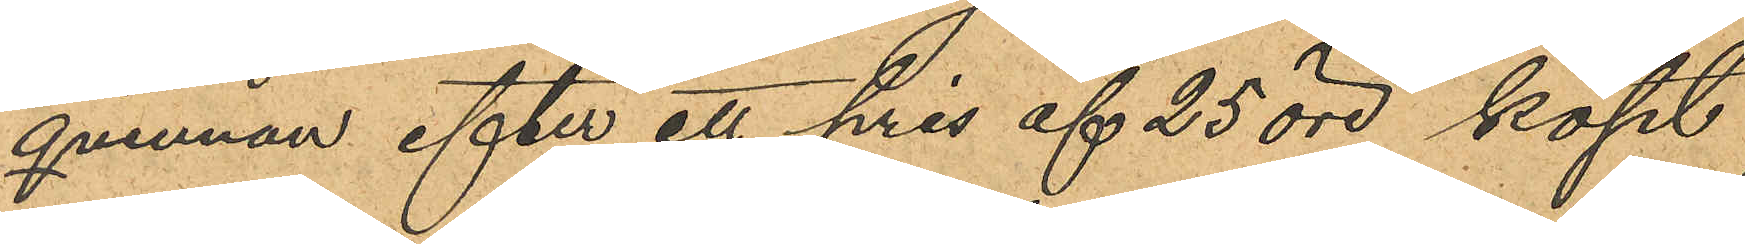qvinnan efter ett pris af 25 öre köpt
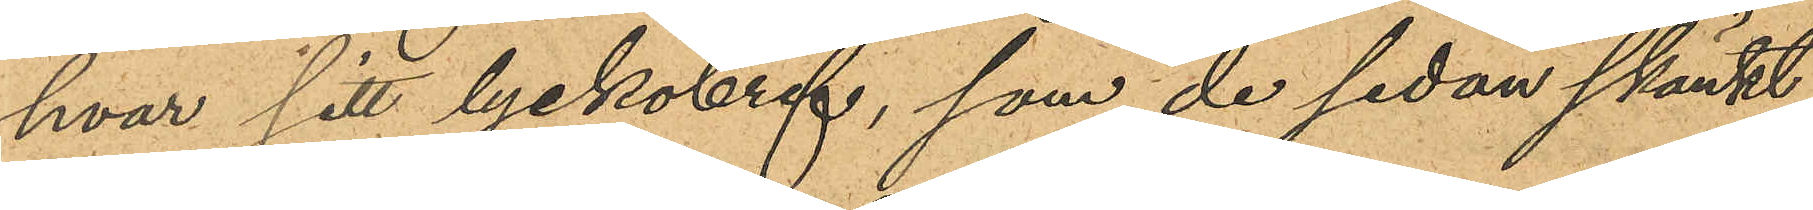hvar sitt lyckobref, som de sedan skänkt
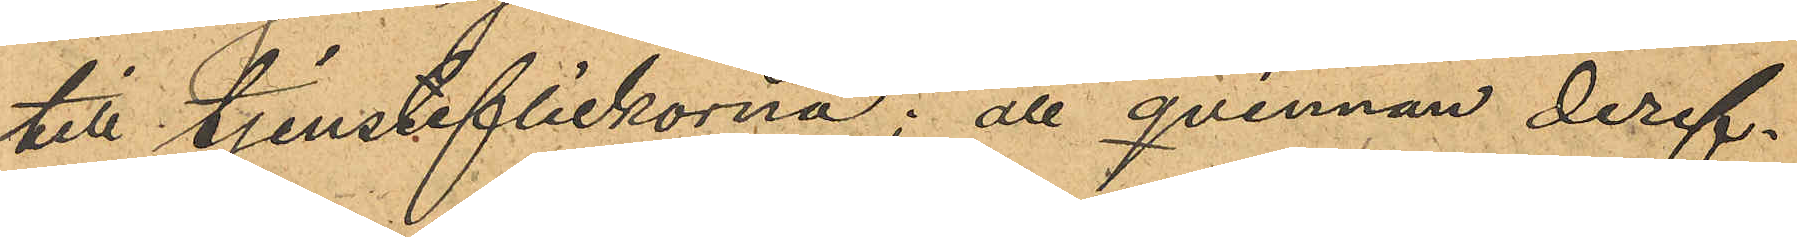till tjensteflickorna; att qvinnan deref¬
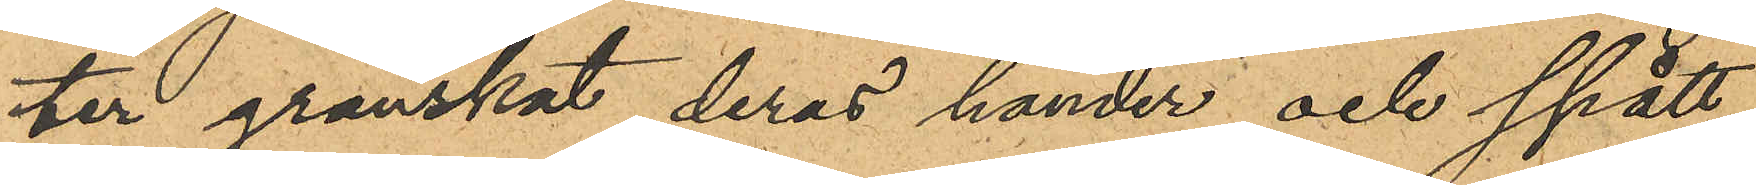ter granskat deras händer och spått
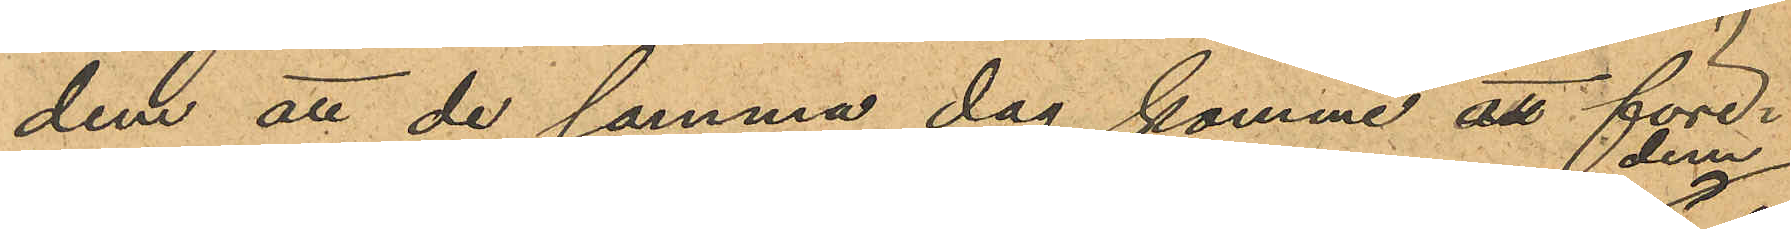dem att de samma dag komme att före¬
